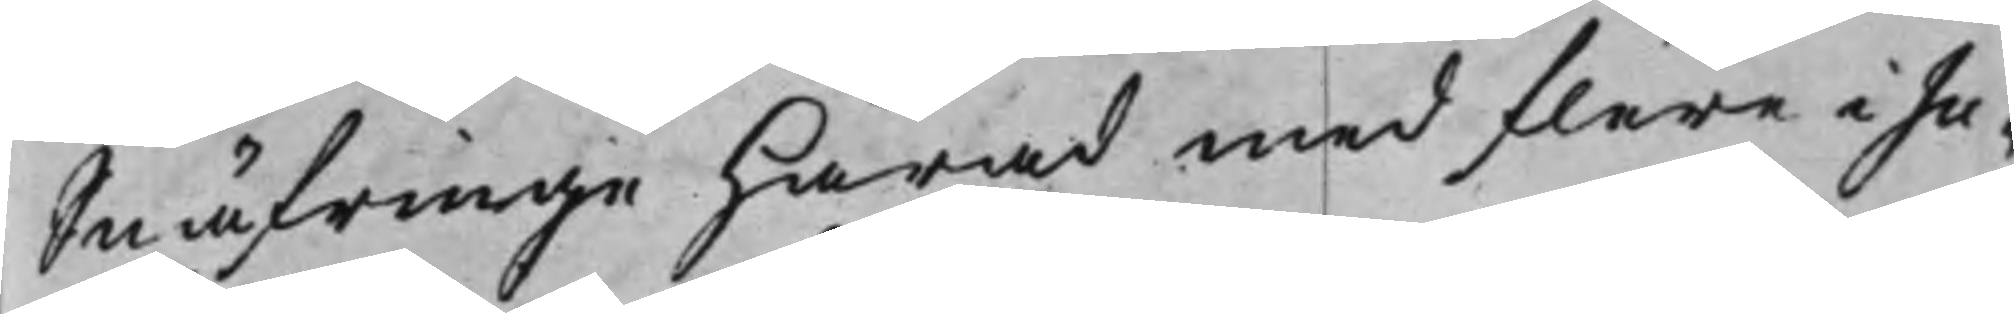Snäfringe Härad med flere i Ju¬
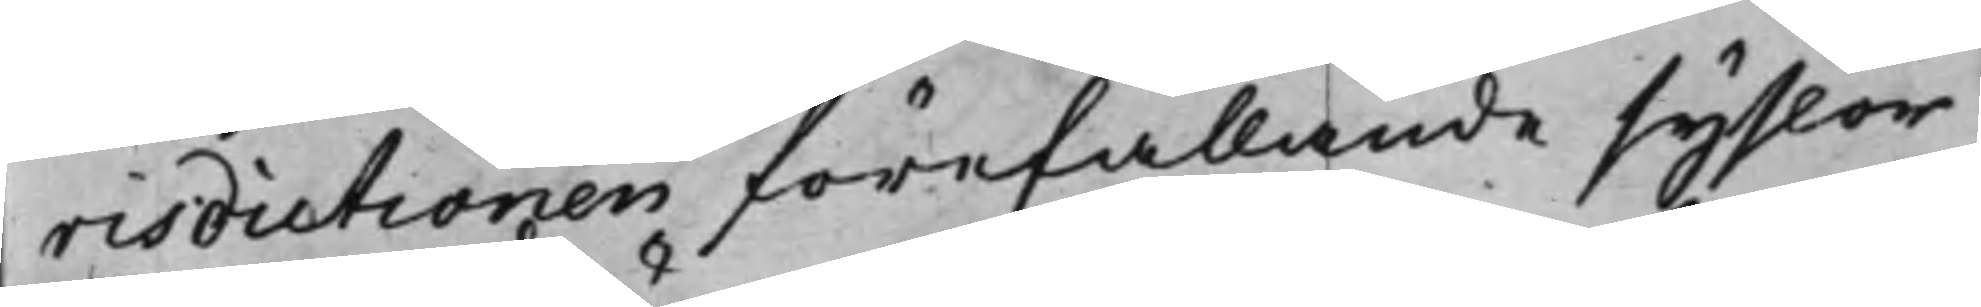risdictionen förefallande syslor
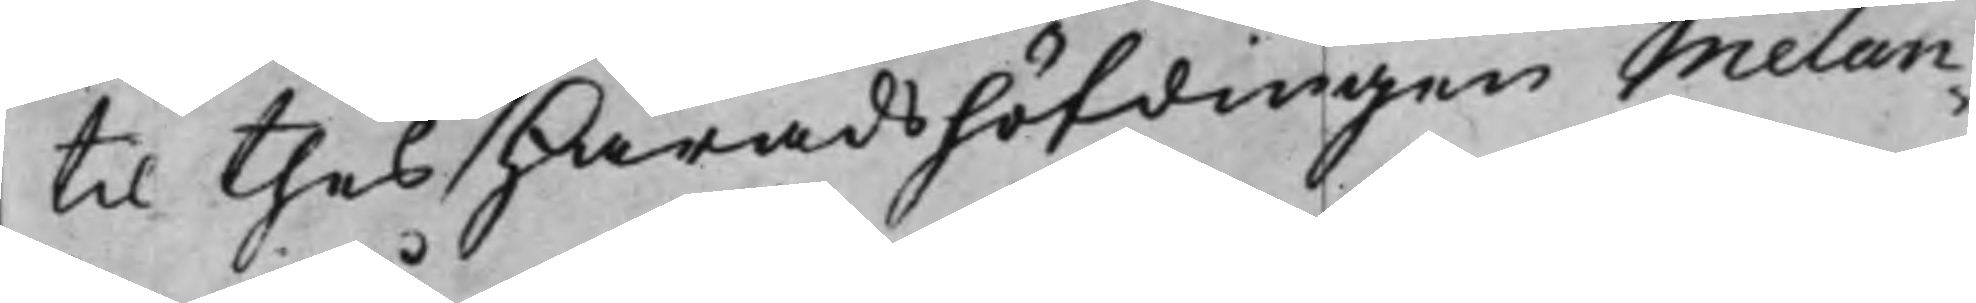til thes Häradshöfdingen Melan¬
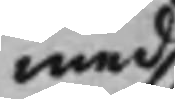med
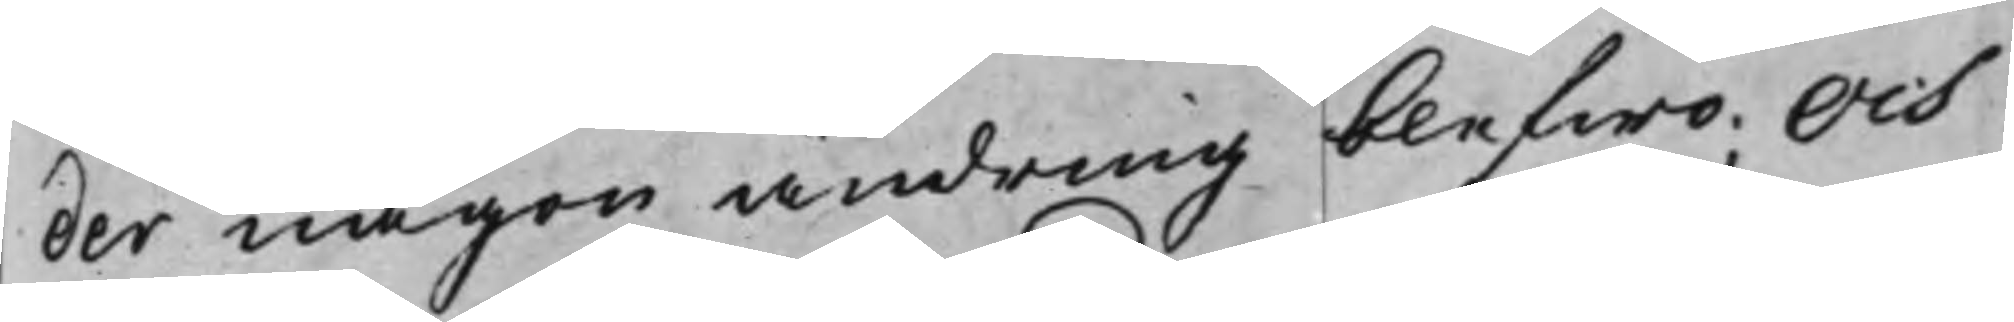der någon ändring blefwo; Och
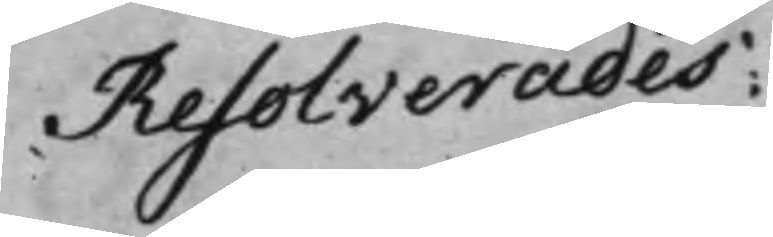Resolverades:
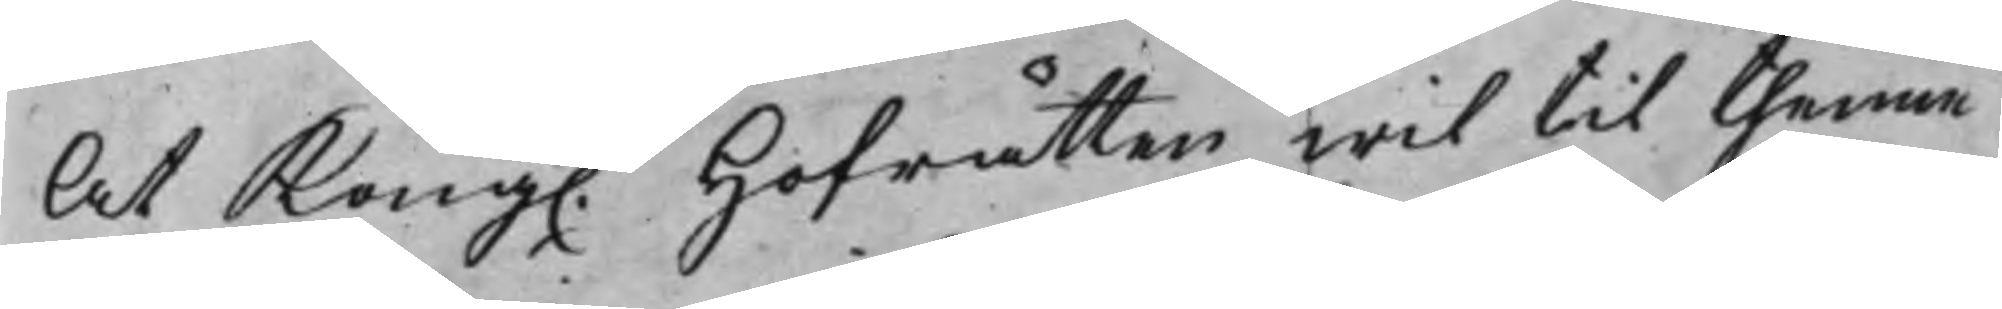At Kong. Hofrätten wil til thenne
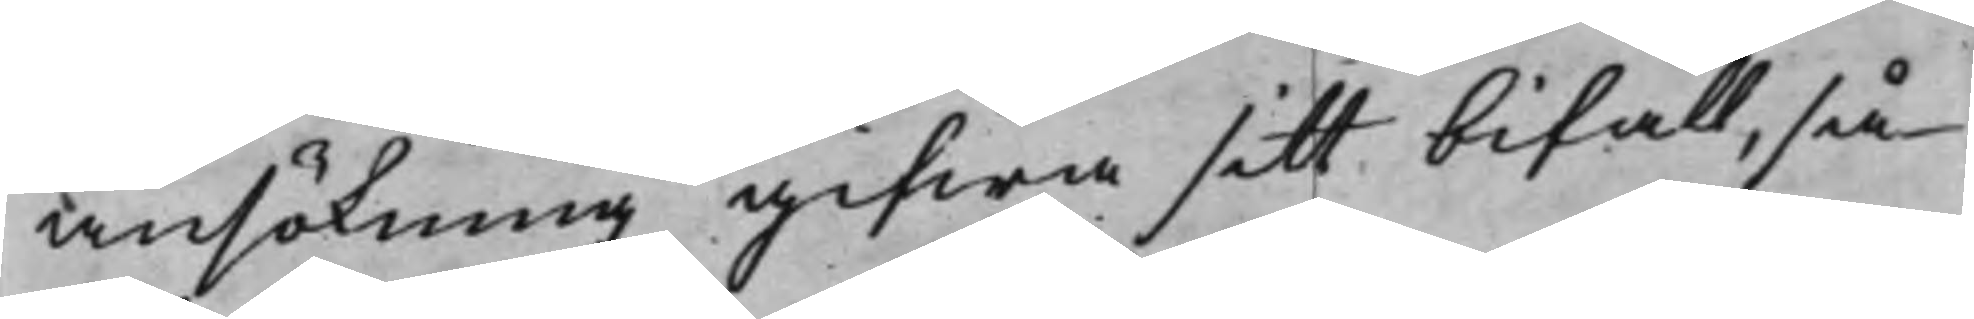ansökning gifwa sitt bifall, så
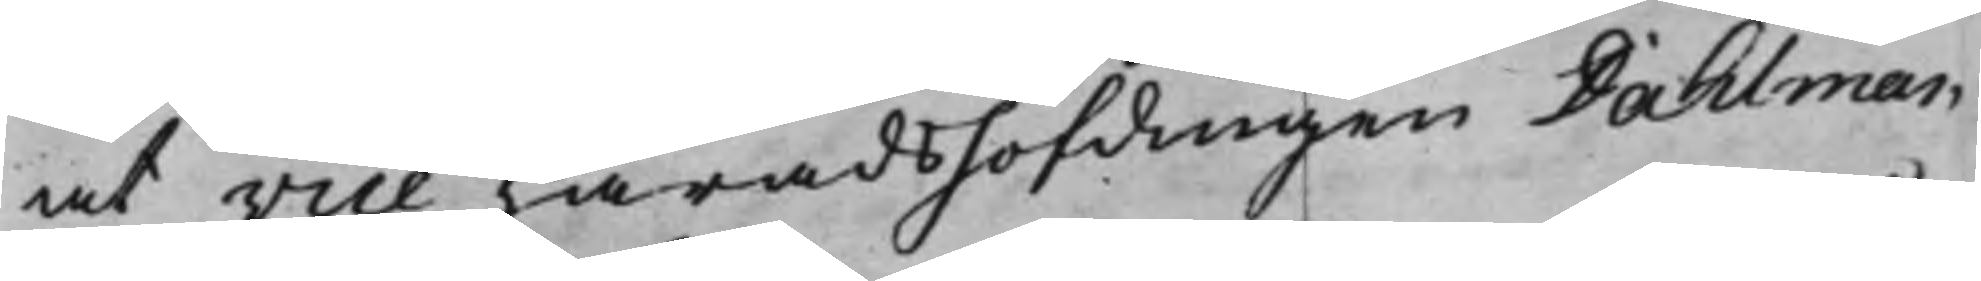at vice Häradshöfdingen Dahlman
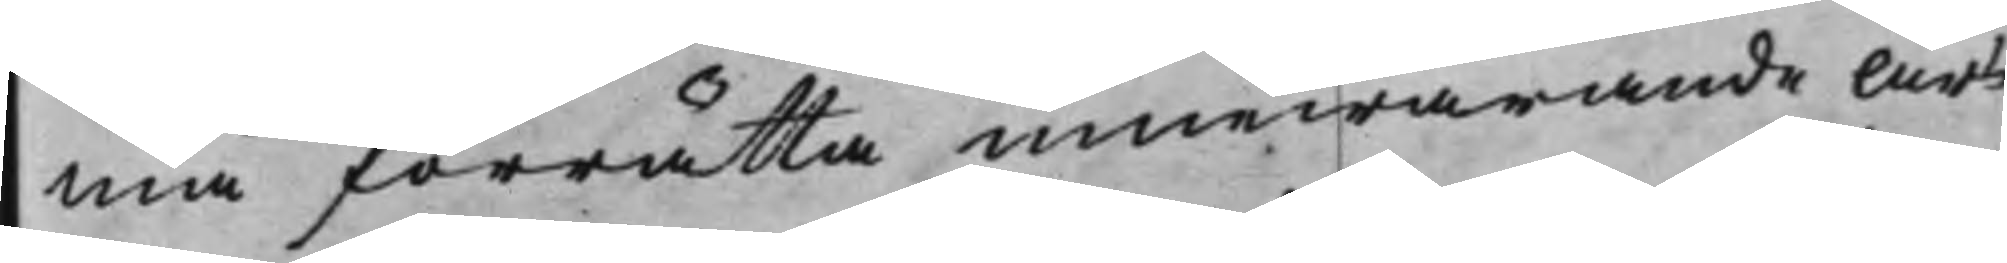må förrätta innewarande Års
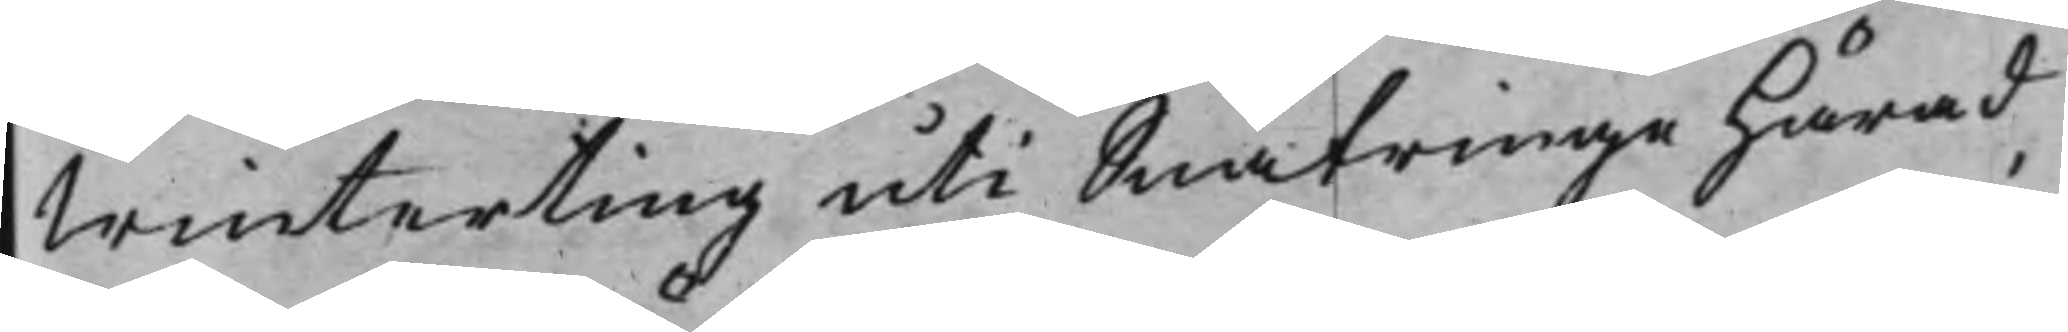Winterting uti Snäfringe Härad
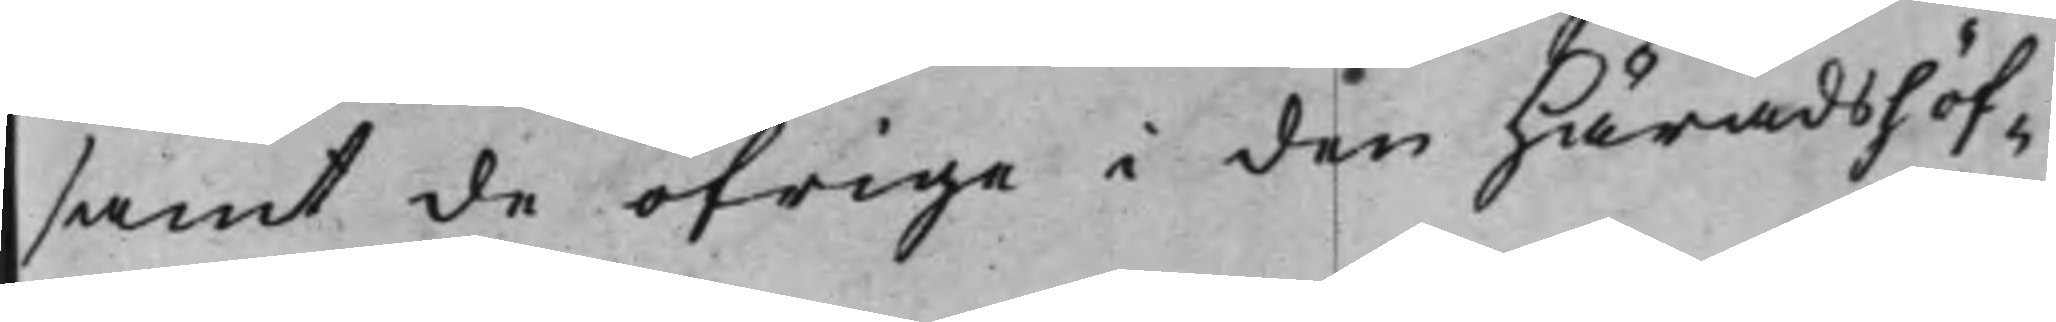samt de öfrige i den Häradshöf¬
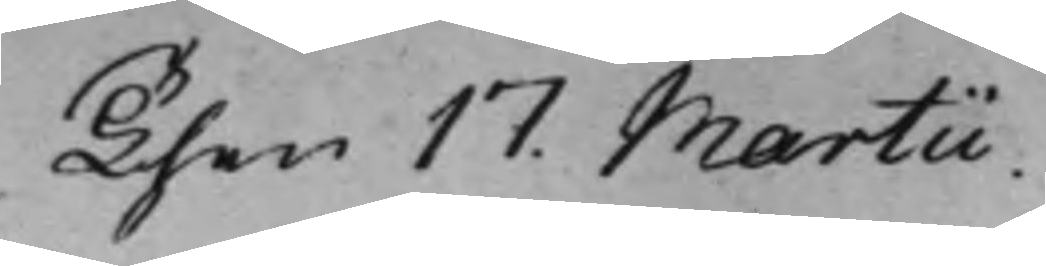Then 17 Martii.
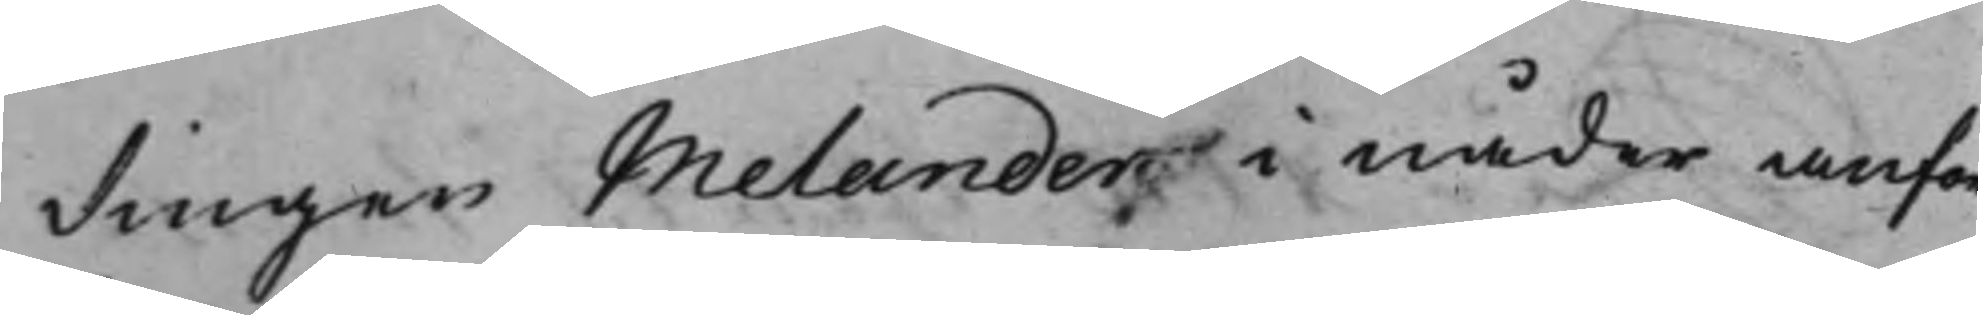dingen Melander i nåder anför¬
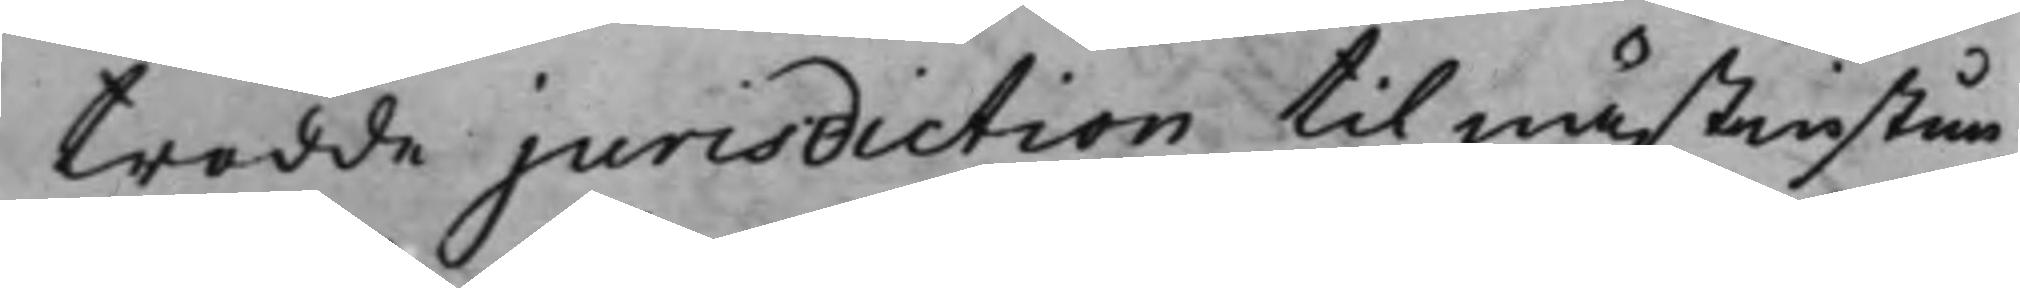trodde jurisdiction til nästinstun¬
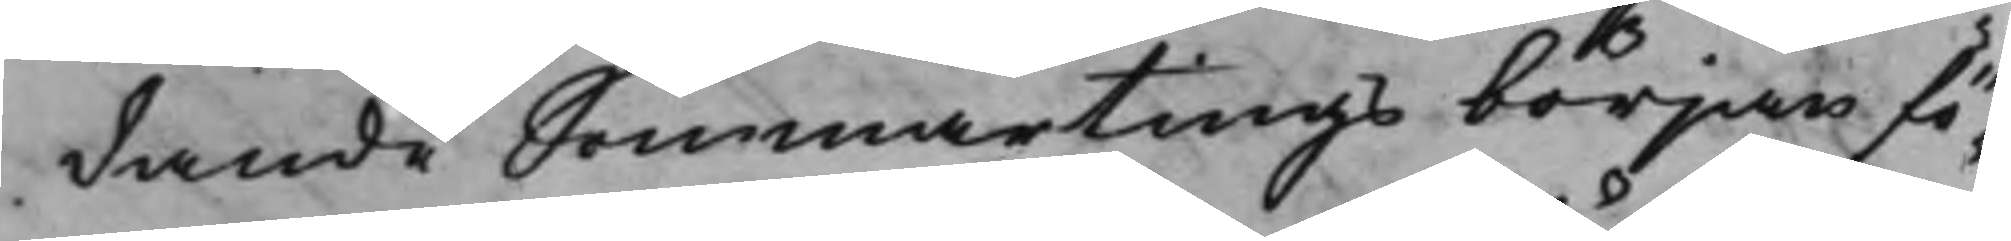dande Sommartings början fö¬
